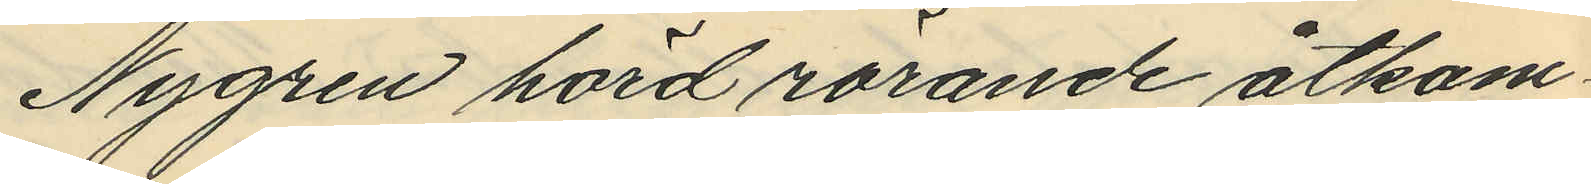Nygren hörd rörande åtkom¬
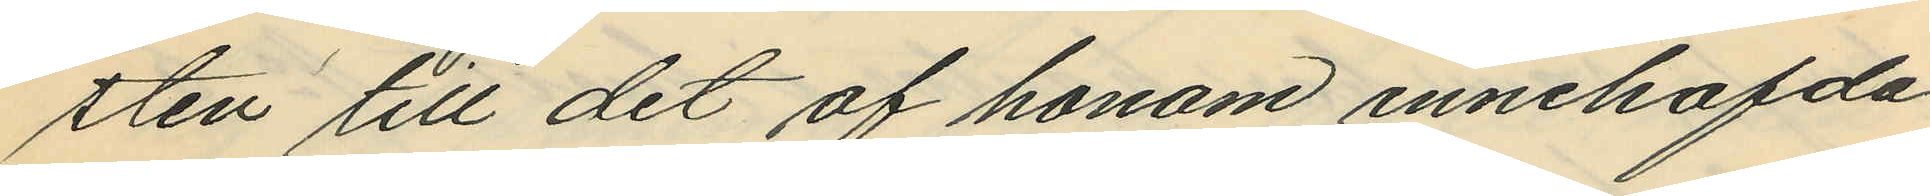sten till det af honom innehafda
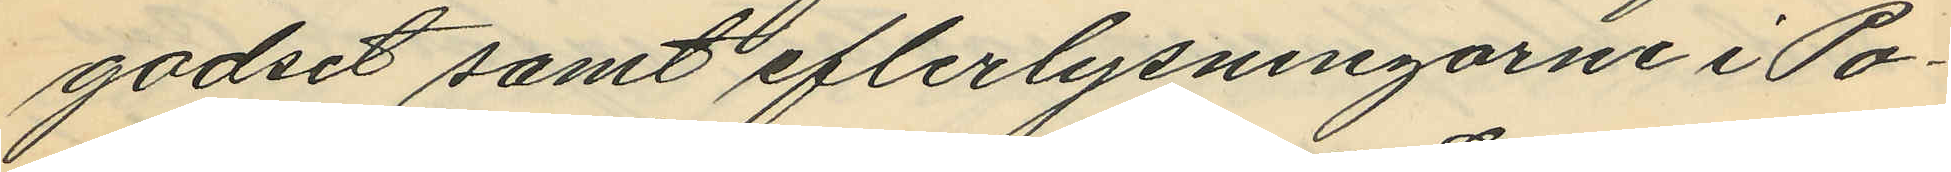godset samt efterlysningarne i Po¬
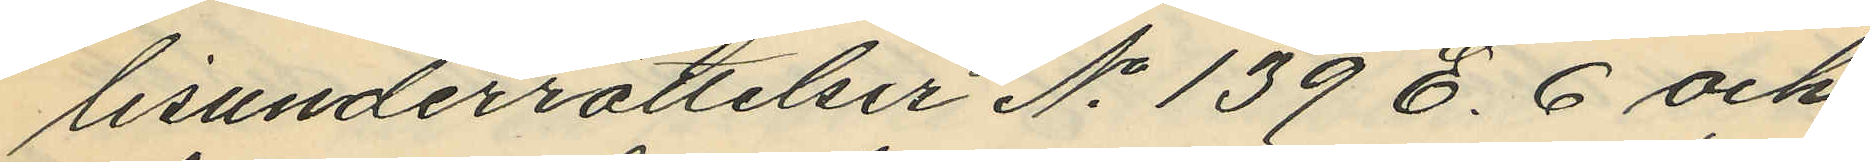lisunderrättelser No 139 E. 6 och
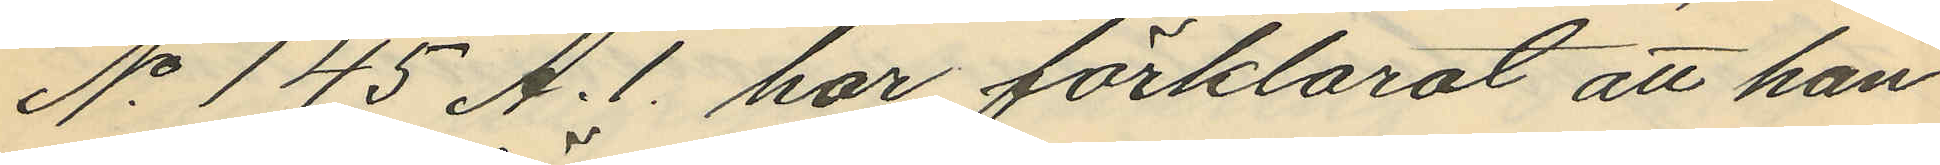No 145 A. 1. har förklarat att han
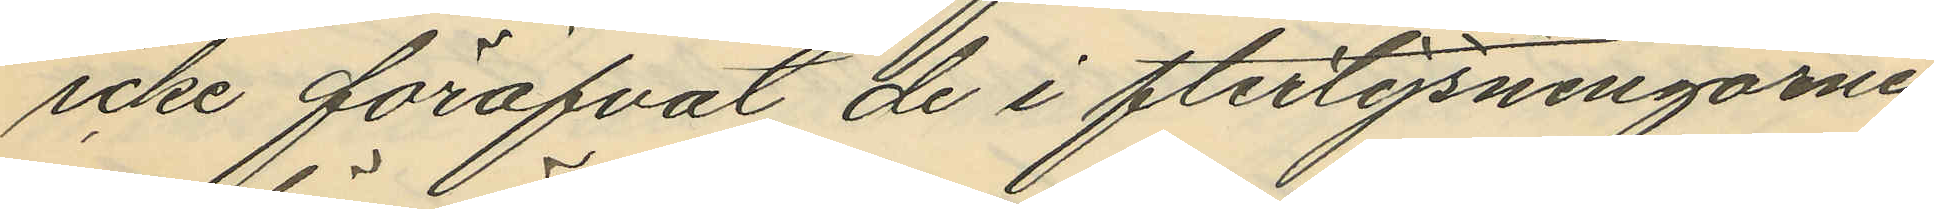icke föröfvat de i fterlysningarne
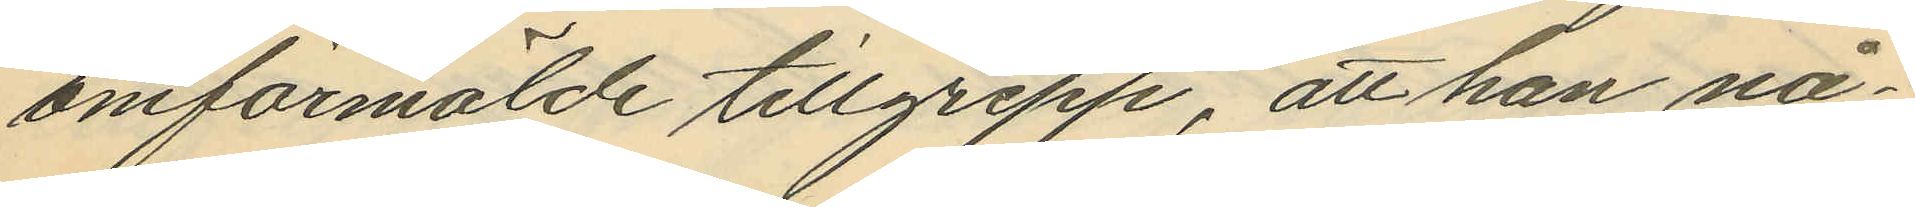omförmälde tillgrepp, att han nå¬
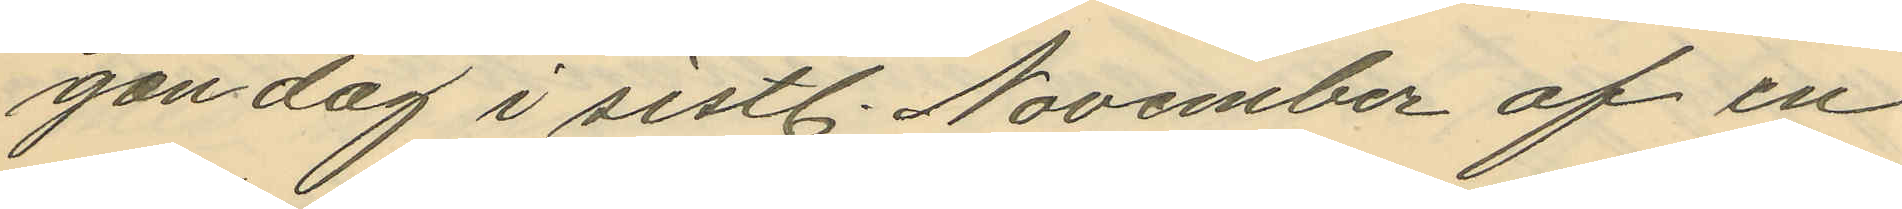gon dag i sistl. November af en
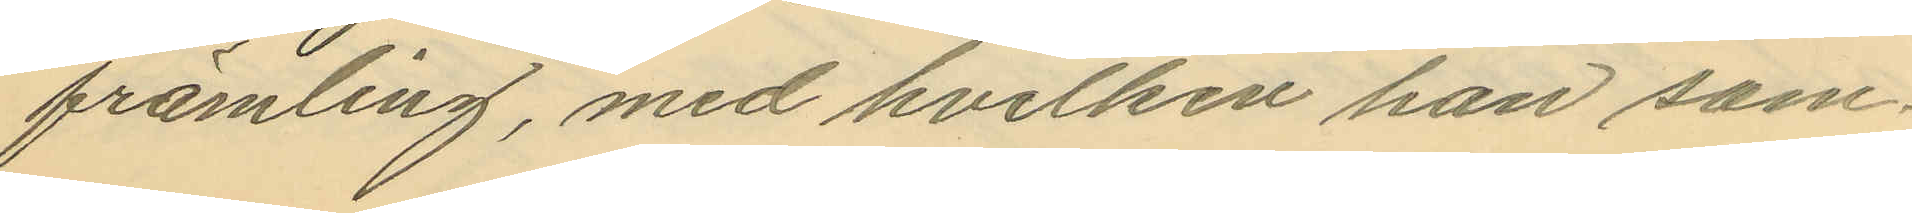främling, med hvilken han sam¬
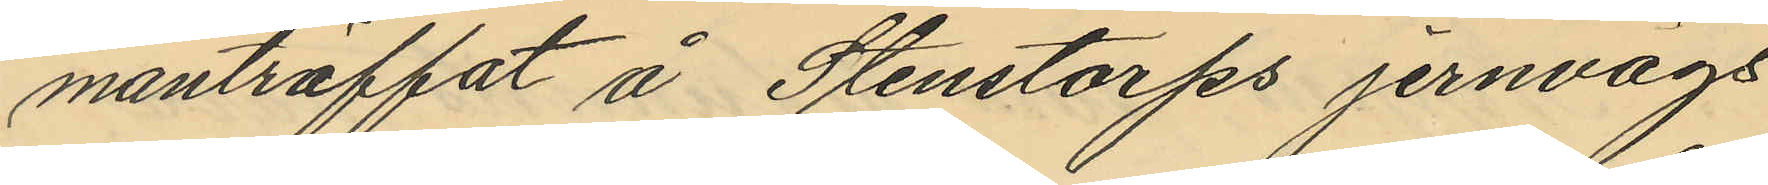manträffat å Stenstorps jernvägs¬
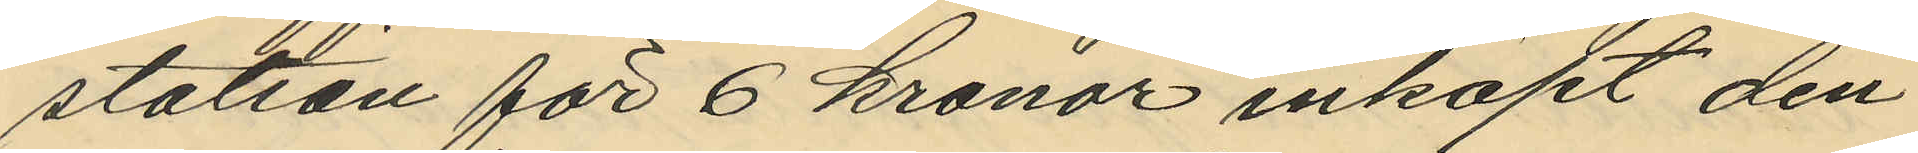station för 6 kronor inköpt den
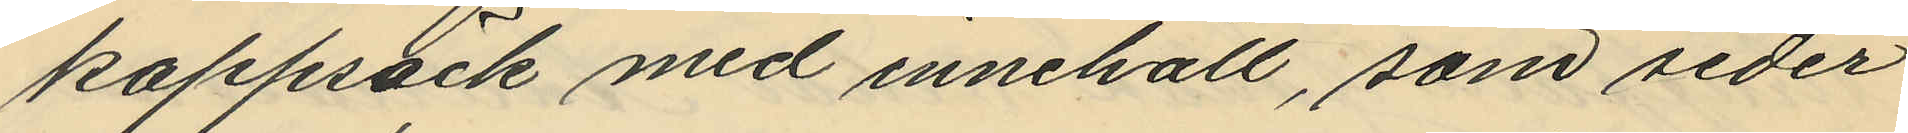kappsäck med innehåll, som seder
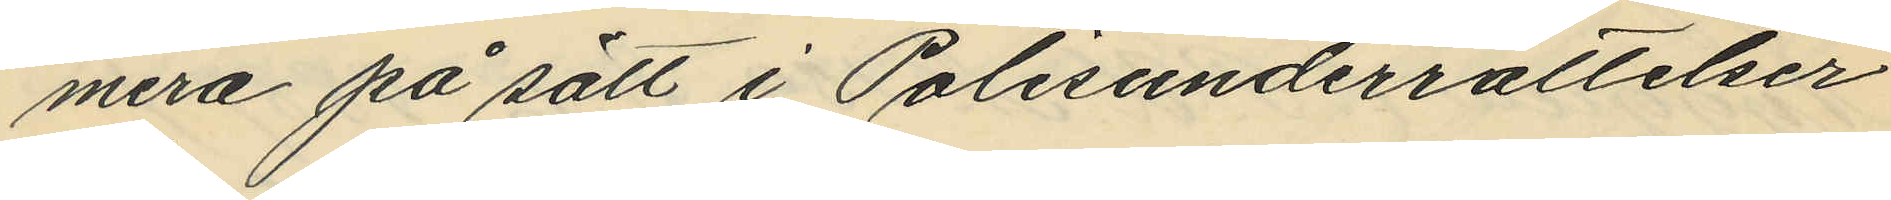mera på sätt i Polisunderrättelser
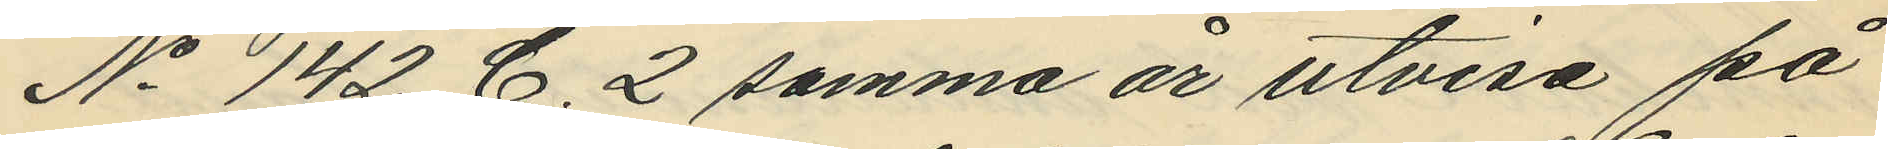No 142 C. 2 samma år utvisa på
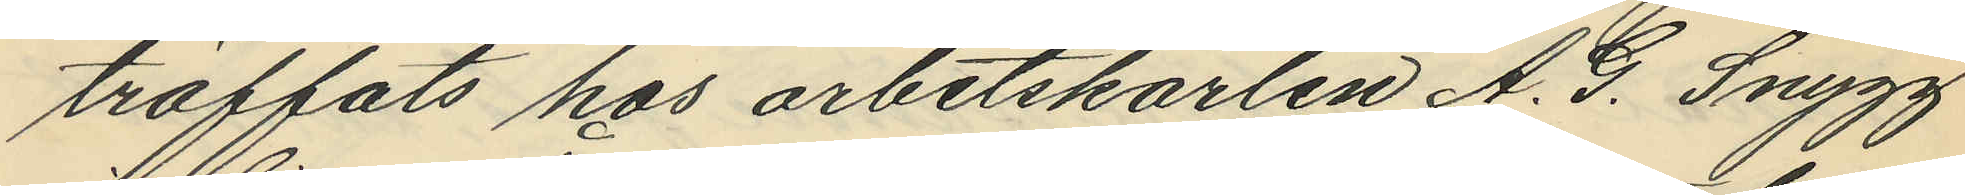träffats hos arbetskarlen A. G. Snygg
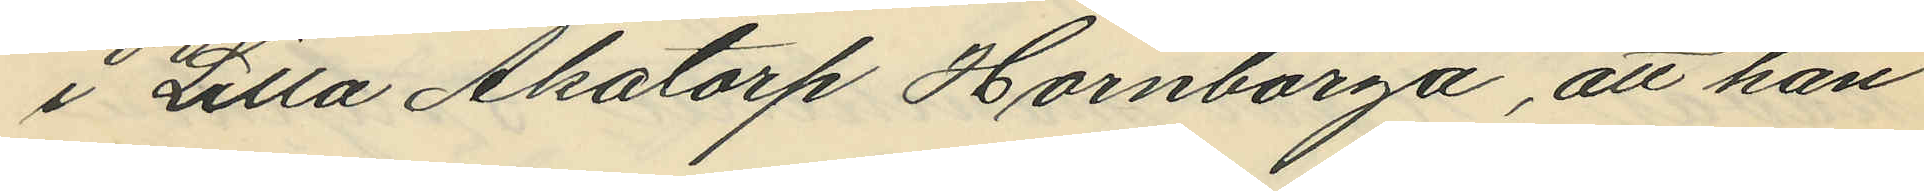i Lilla Åkatorp Hornborga, att han
